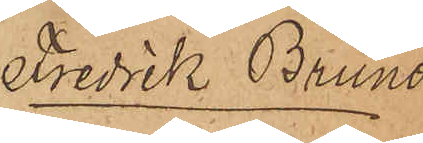Fredrik Bruno
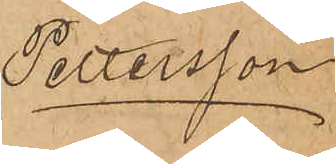Pettersson
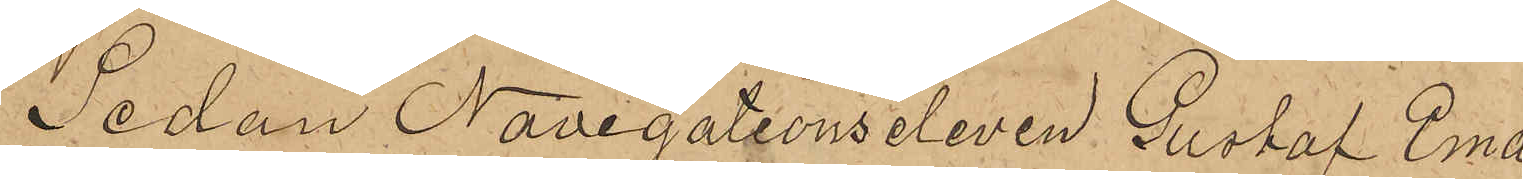Sedan Navigationseleven Gustaf Ema¬
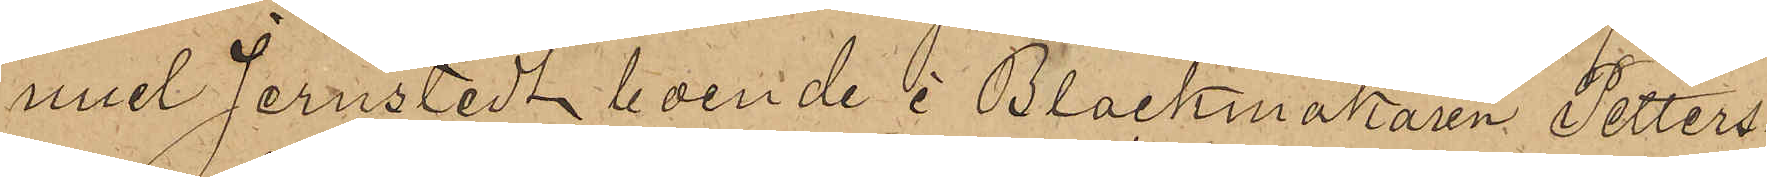nuel Jernstedt boende i Blockmakaren Petters¬
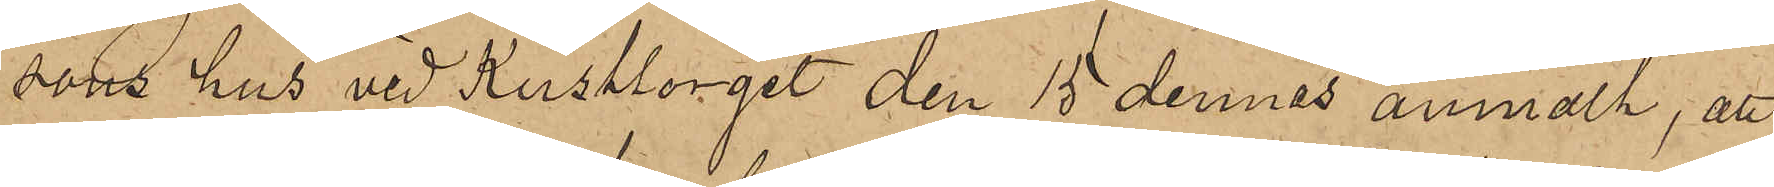sons hus vid Kusttorget den 15 dennes anmält, att
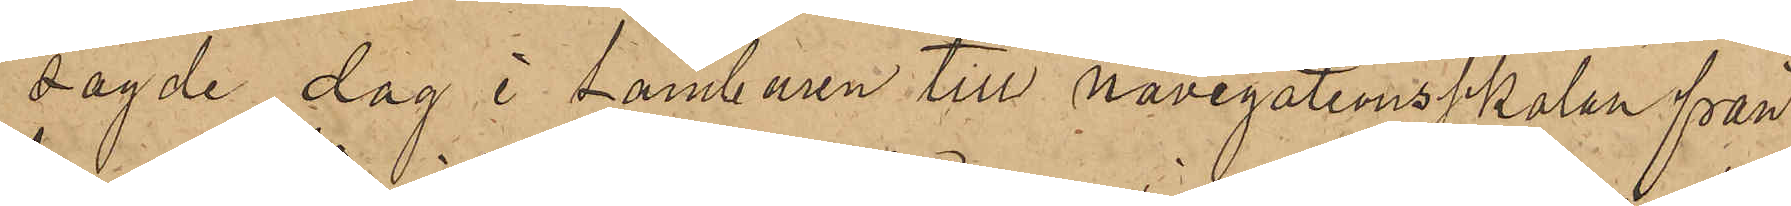sagde dag i tamburen till navigationsskolan från
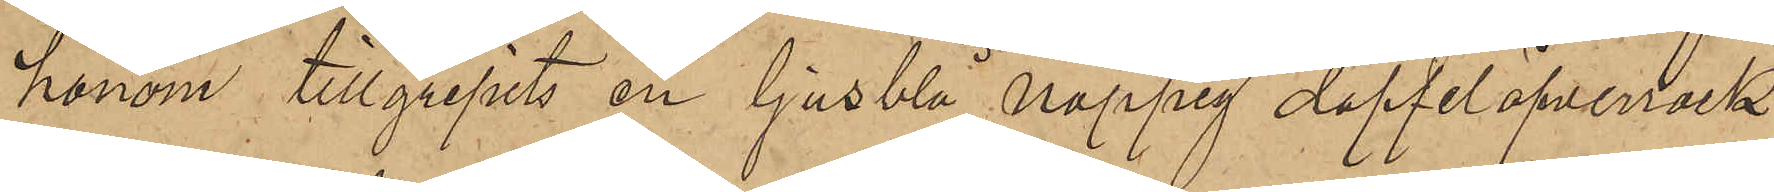honom tillgripits en ljusblå noppig doffelöfverrock
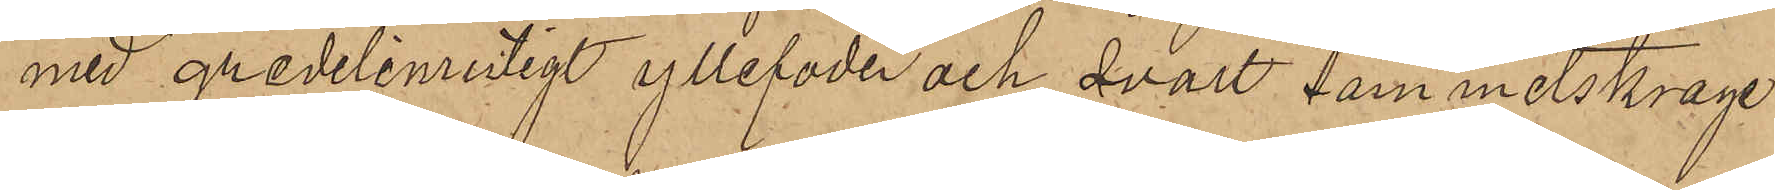med gredelinrutigt yllefoder och svart sammetskrage
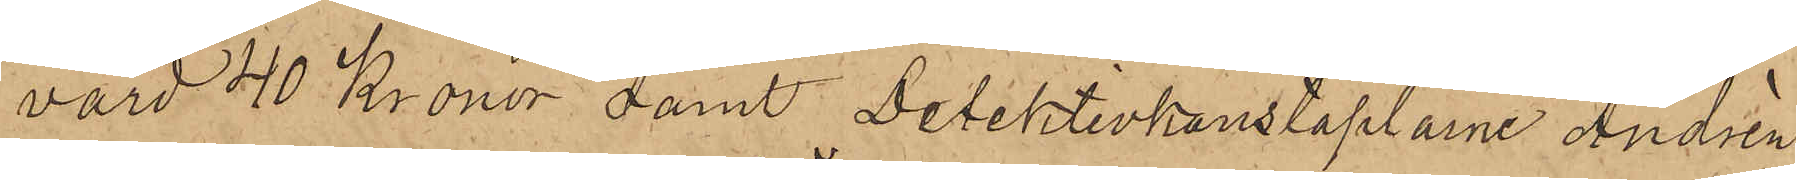värd 40 Kronor samt Detektivkonstaplarne Andrèn
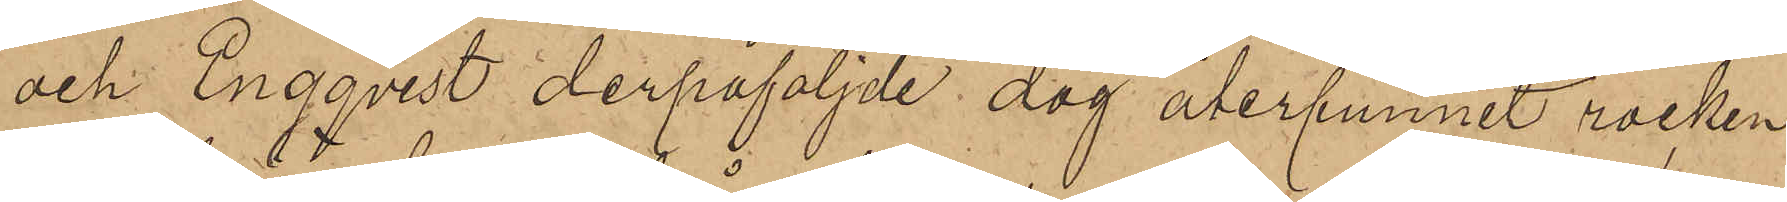och Engqvist derpåföljde dag återfunnit rocken
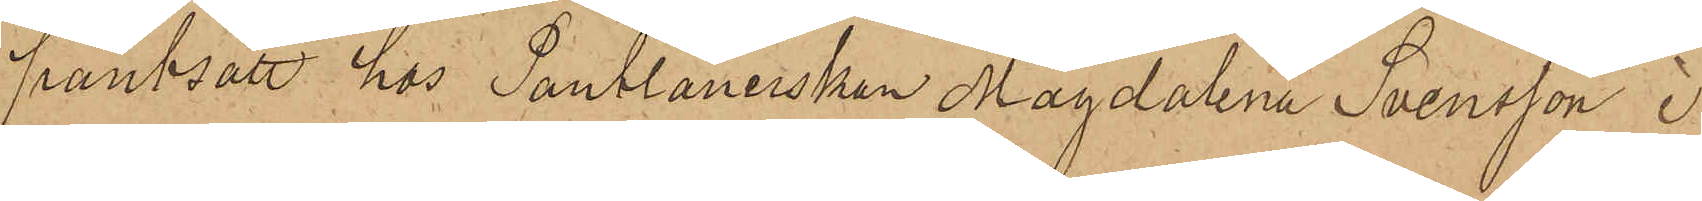pantsatt hos Pantlånerskan Magdalena Svensson i
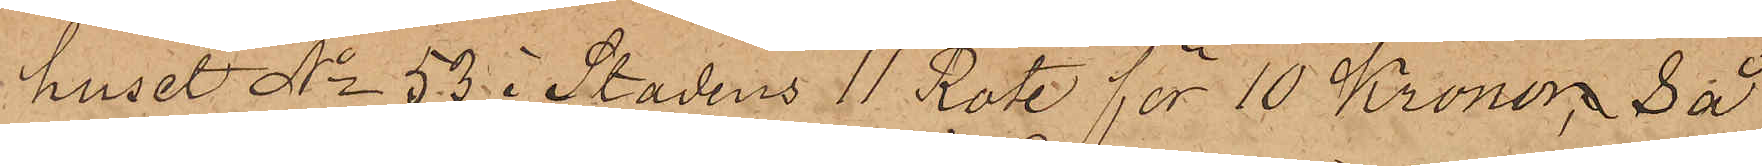huset No 53 i Stadens 11 Rote för 10 Kronor, så
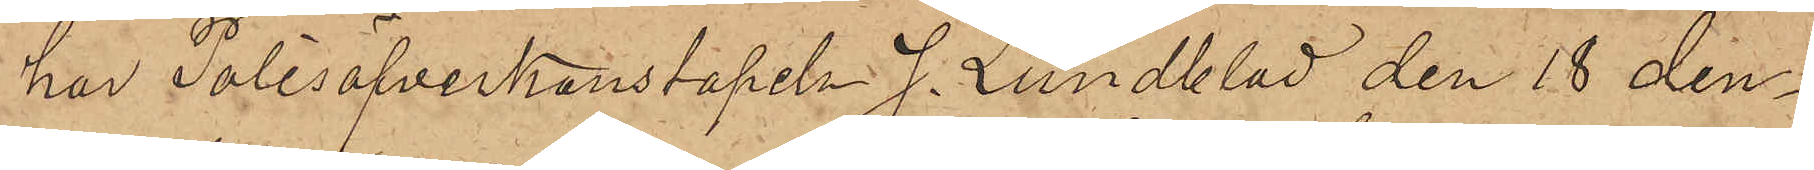har Polisöfverkonstapeln J. Lundblad den 18 den¬
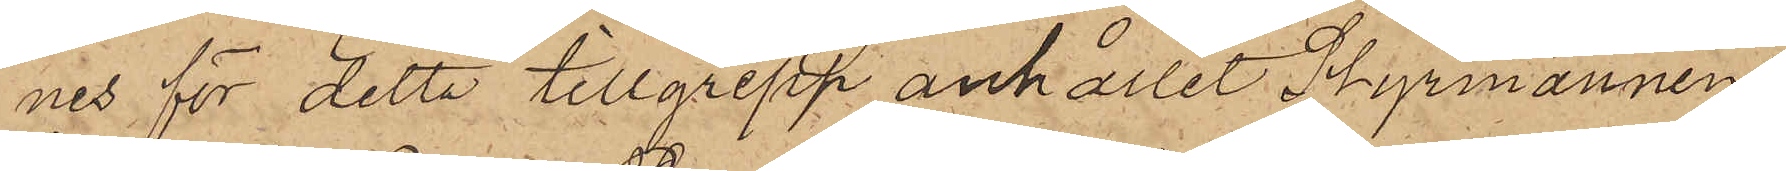nes för detta tillgrepp anhållit Styrmannen
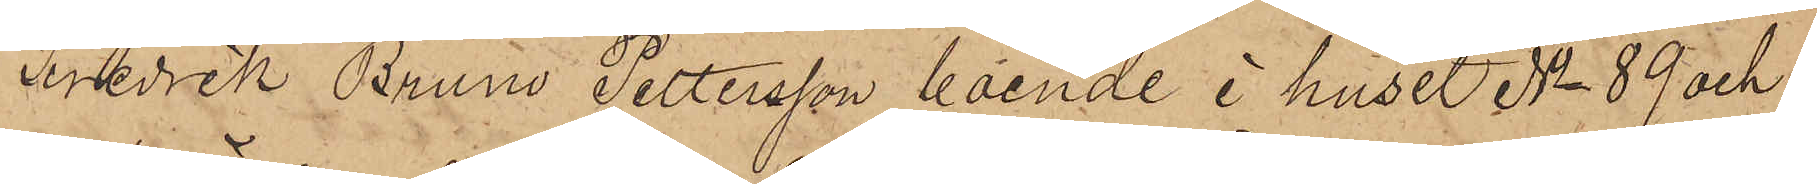Fredrik Bruno Pettersson, boende i huset No 89 och
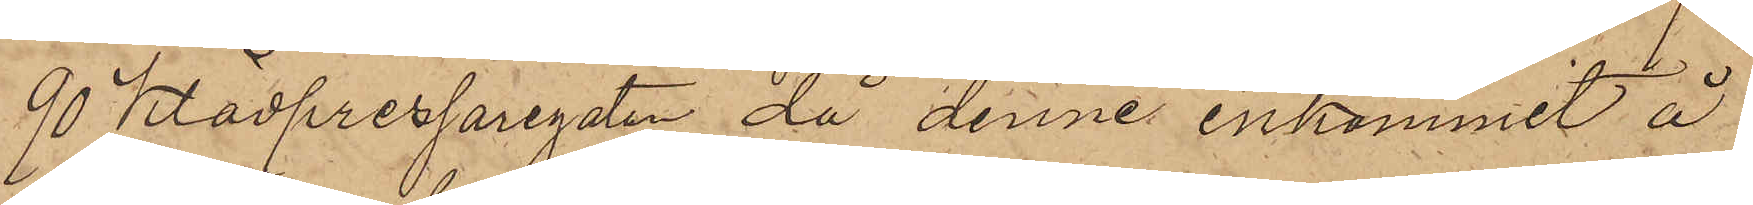90 Klädpressaregatan, då denne inkommit å
